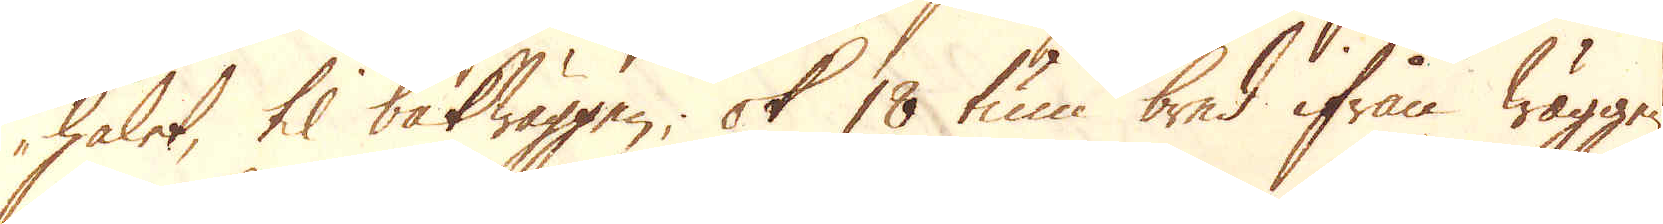hålet, til bakwäggen; ok 18 tum bred ifrån wäggen
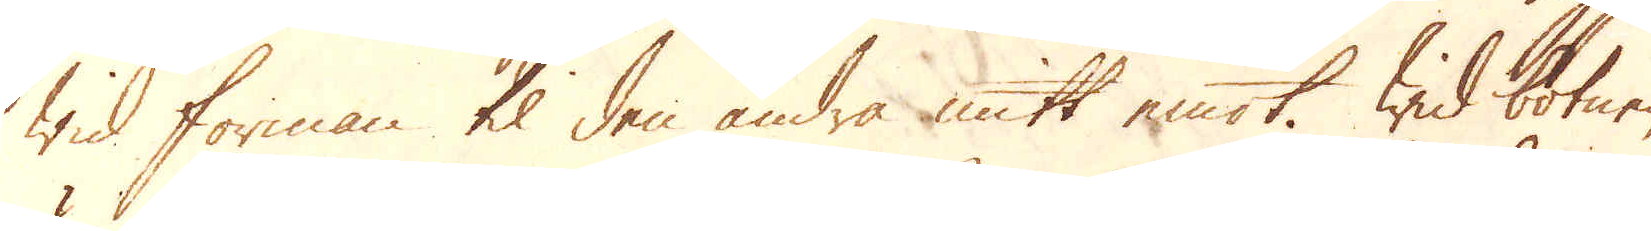wid forman til den andra mitt emot. Wid botnen
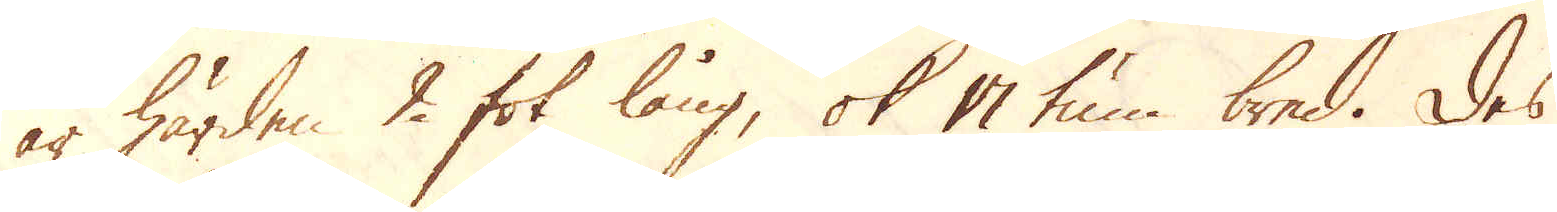af härden 2 fot lång, ok 17 tum bred. Des
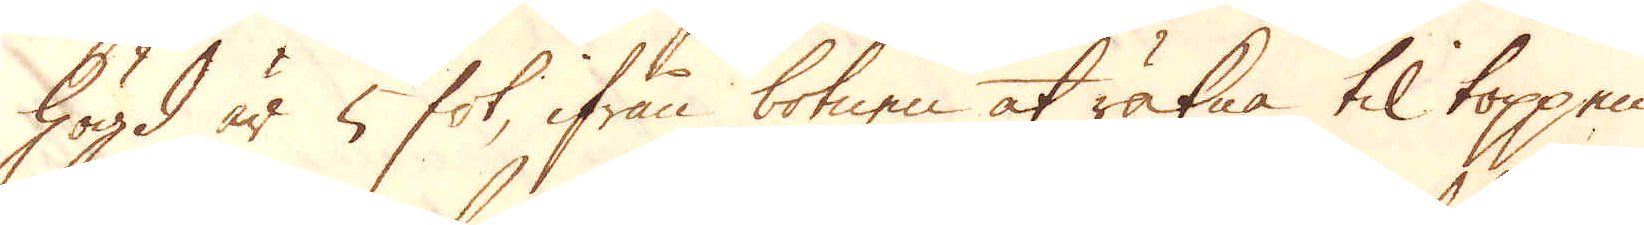högd är 5 fot, ifrån botnen at räkna til toppen
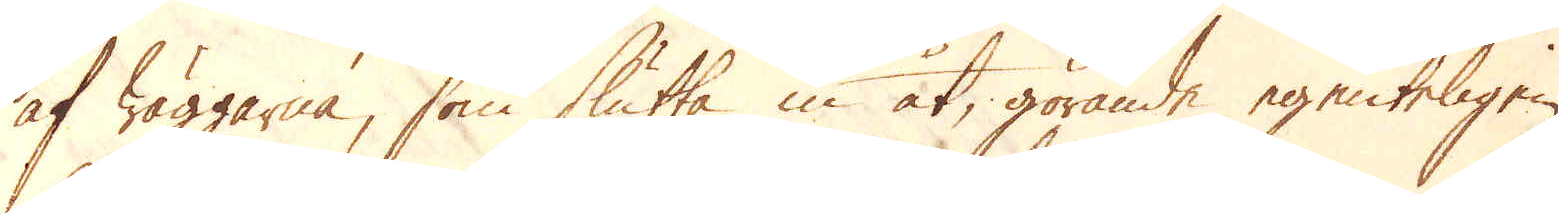af wäggarna, som slutta in åt, görande egenteligen
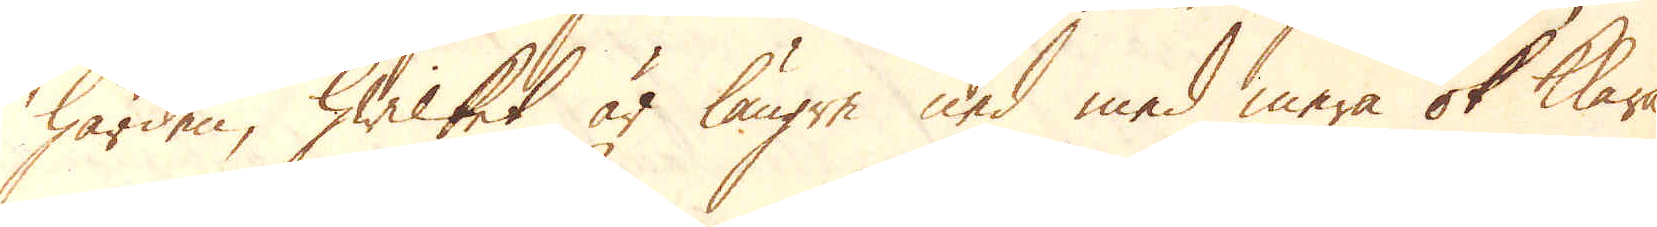härden, hwilket är längre ned med mera ok klara-
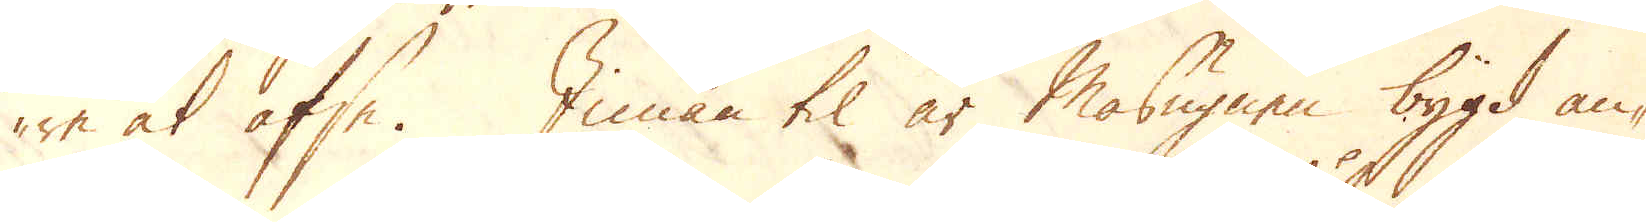re at afse. Innan til är Masugnen bygd an-
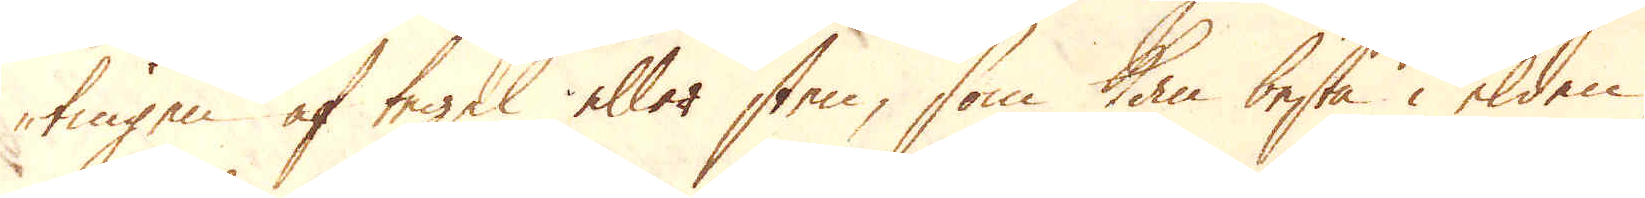tingen af tegel eller sten, som kan bestå i elden,
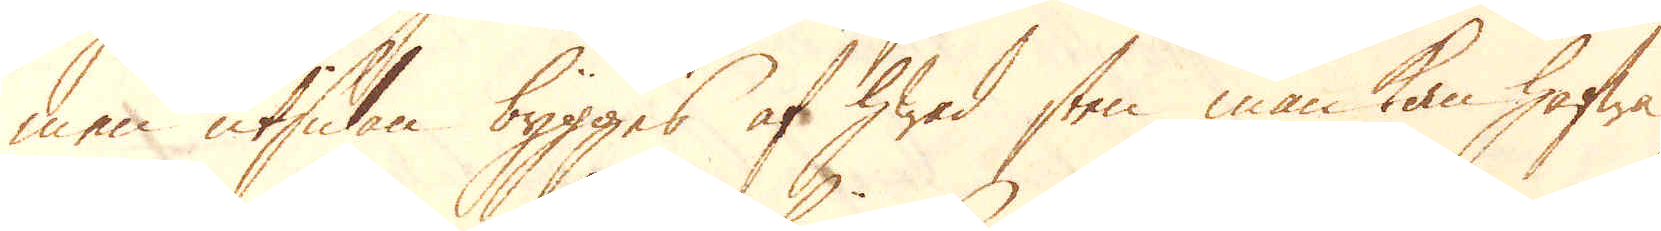men utsidan bygges af hwad sten man kan hafwa
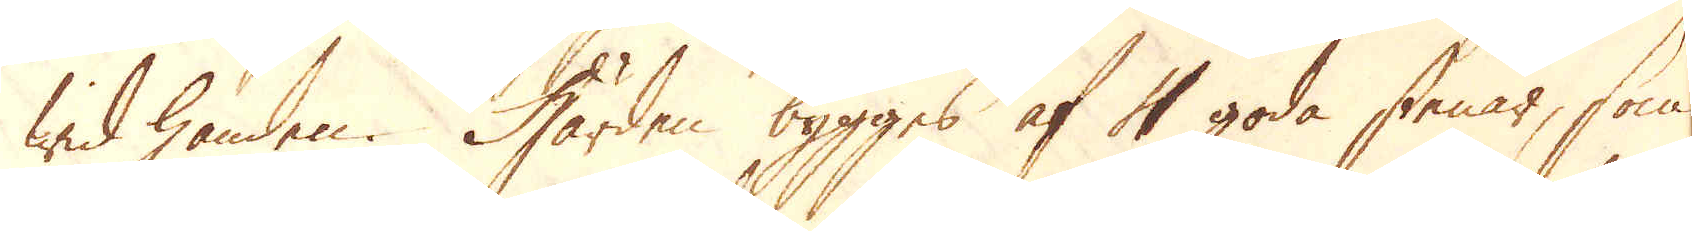wid handen. Härden bygges af 4 goda stenar, som
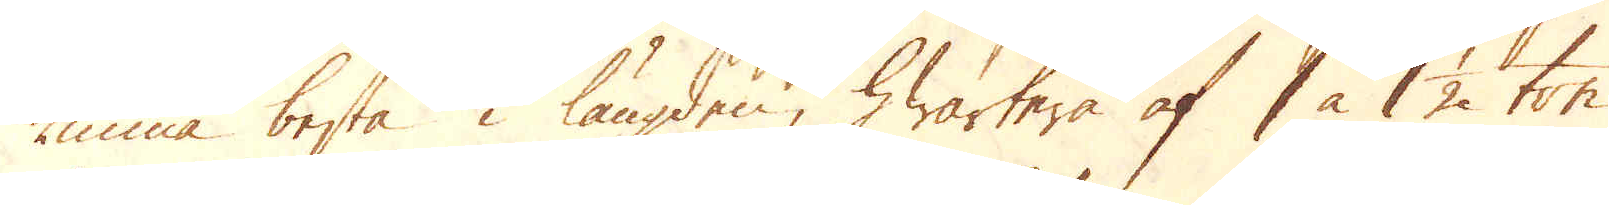kunna bestå i längden, hwartera af 1 à 1 1/2 ton
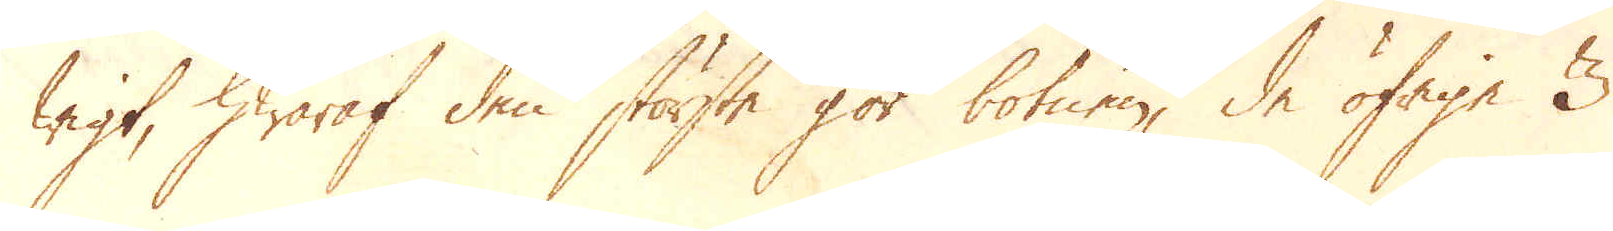wigt, hwaraf den störste gör botnen, de öfrige 3
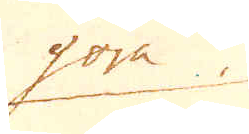göra
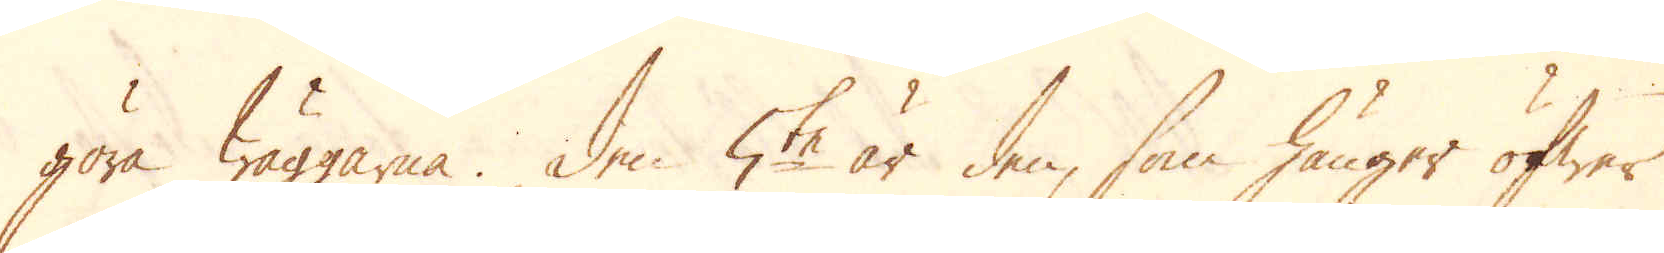göra Wäggarna. Den 5te är den, som hänger öfwer
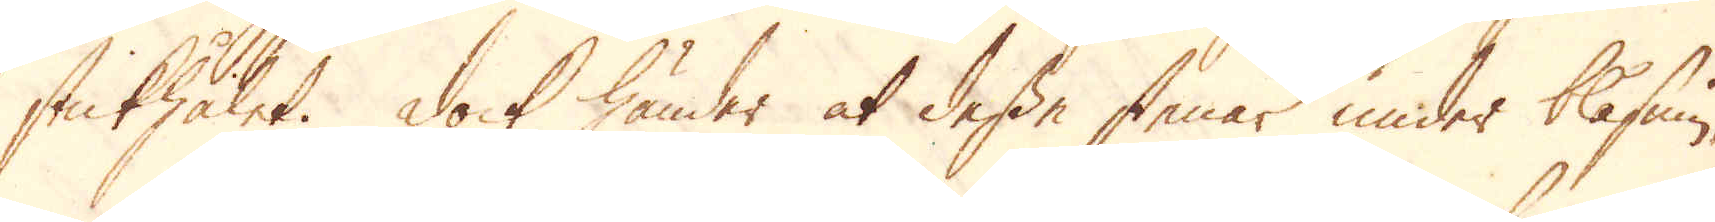stickhålet. Dock händer at desse stenar under blåsnin-
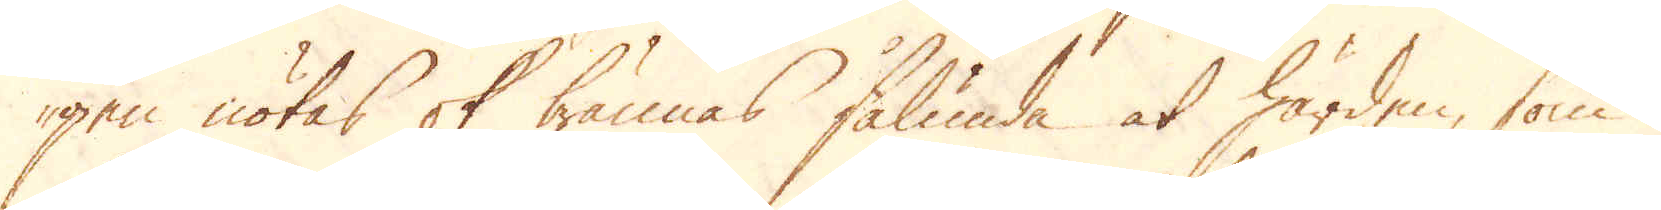gen nötas ok brännas sålunda at härden, som i
